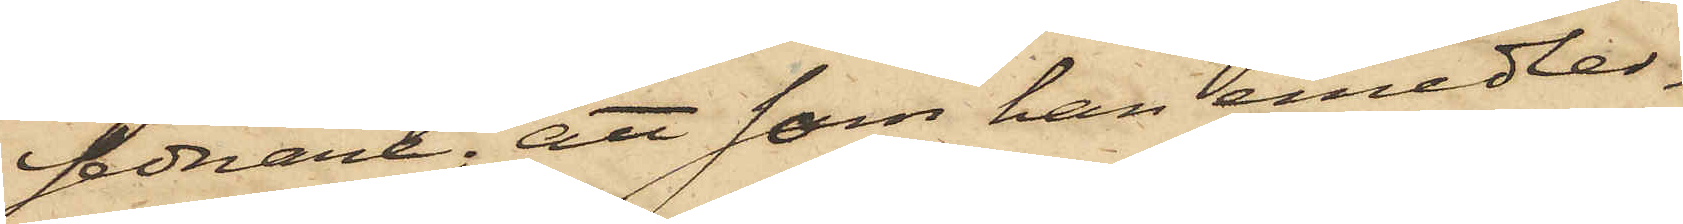sednare; att som han emedler¬
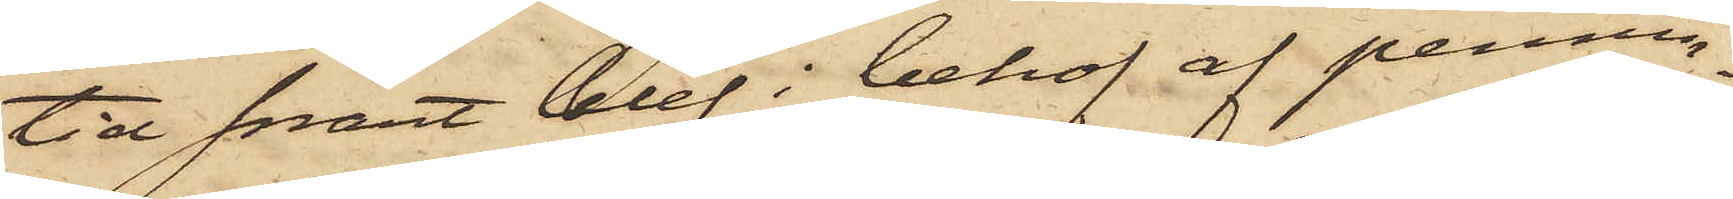tid snart blef i behof af pennin¬
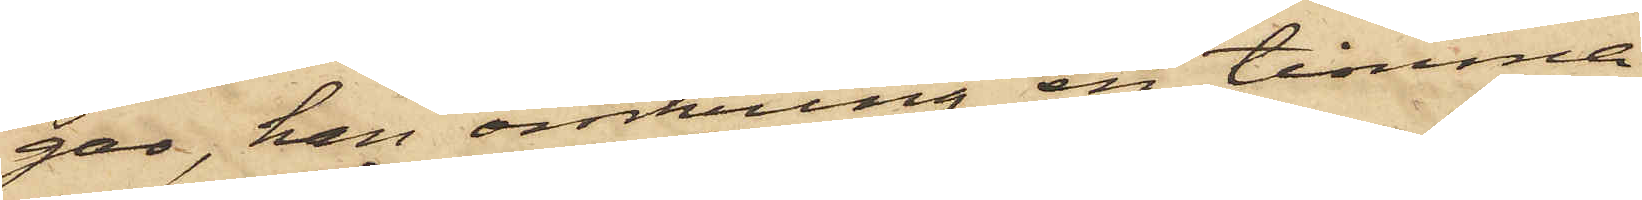gar, han omkring en timme
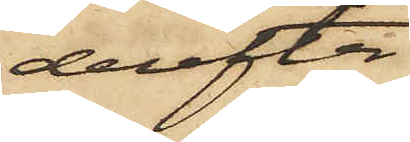derefter
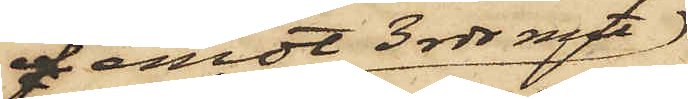f emot 3 rdr rmt
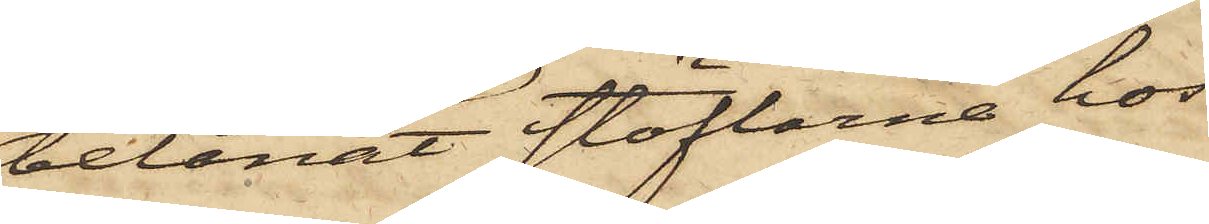belånat stöflarne hos
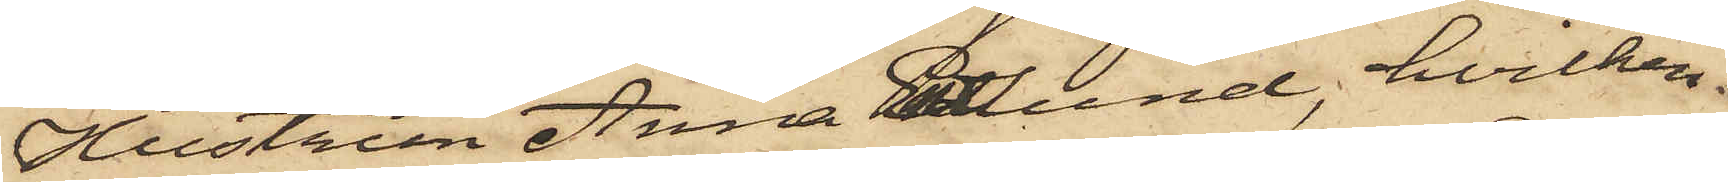Hustrun Anna Enelund, hvilken
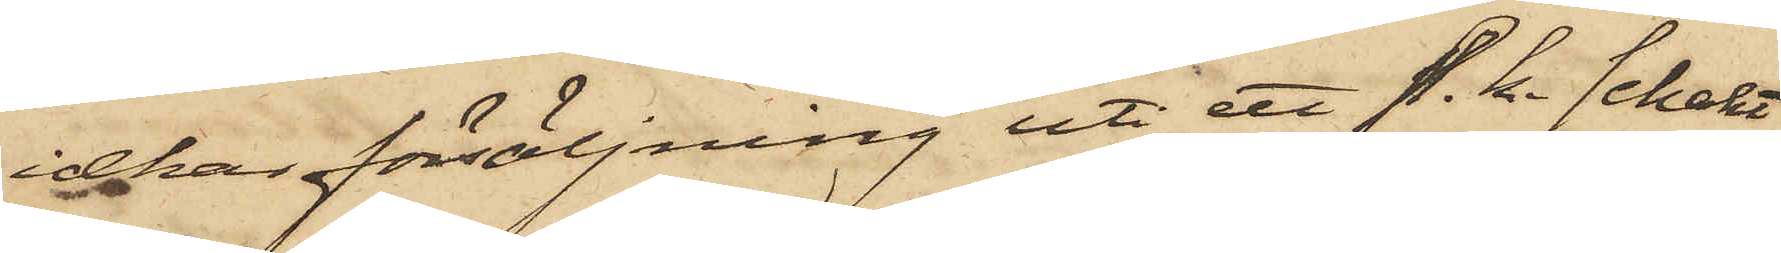idkar försäljning uti ett s. k. schakt
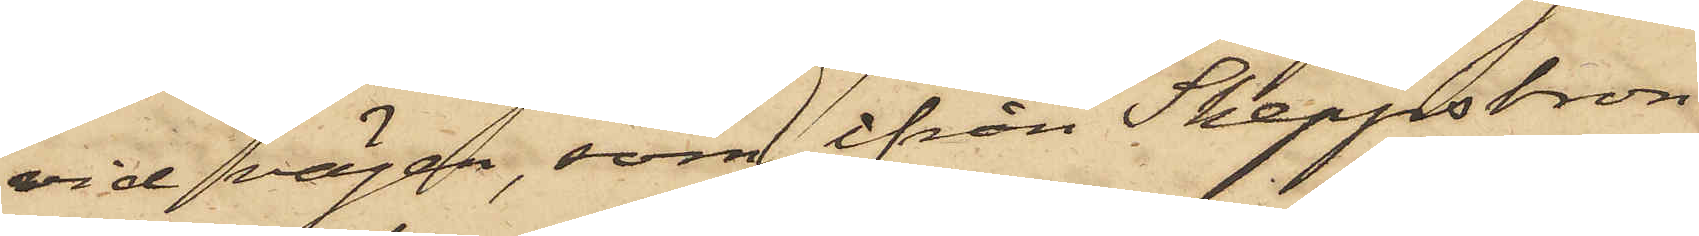vid vägen, som ifrån Skeppsbron
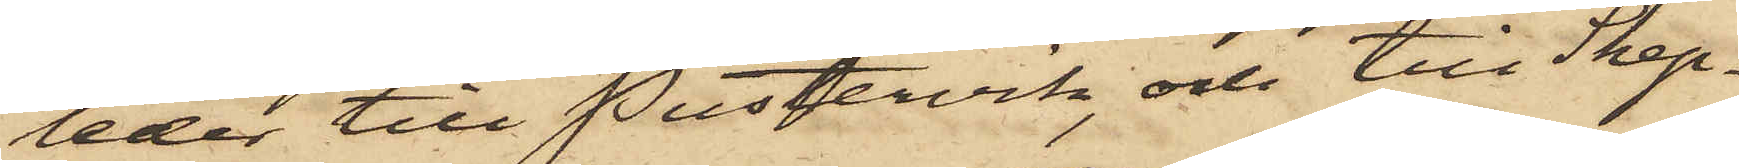leder till Pustervik, och till Skep¬
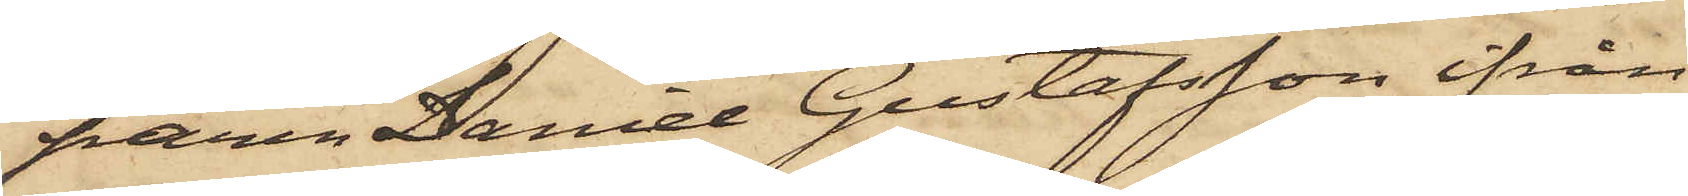paren Daniel Gustafsson ifrån
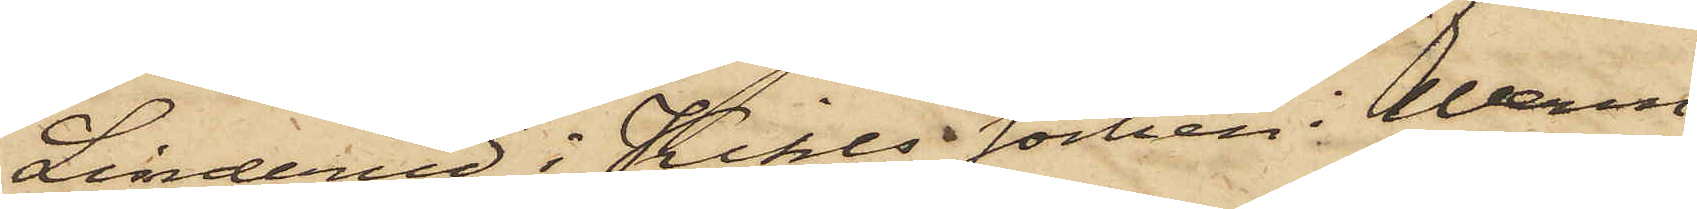Linderud i Kihls socken i Werm¬
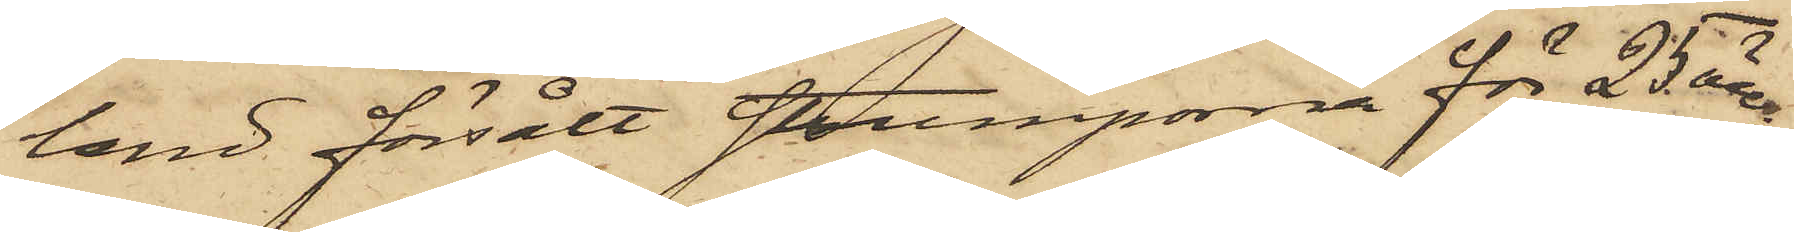land försålt strumporna för 25 öre;
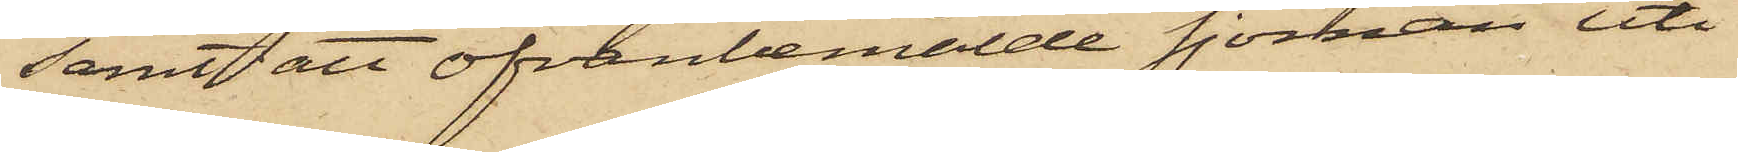samt att ofvanbemälde sjöman uti
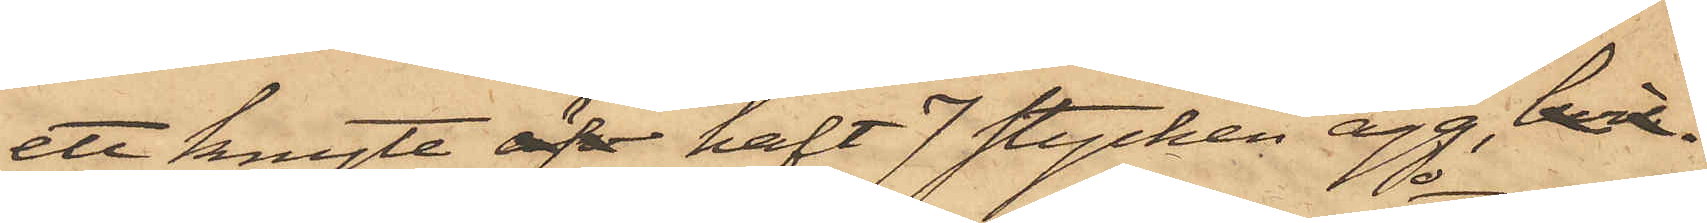ett knyte äfv haft 7 stycken ägg, hvil
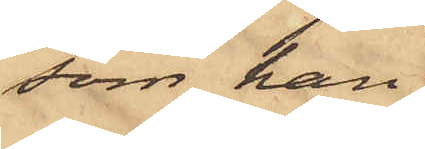som han
